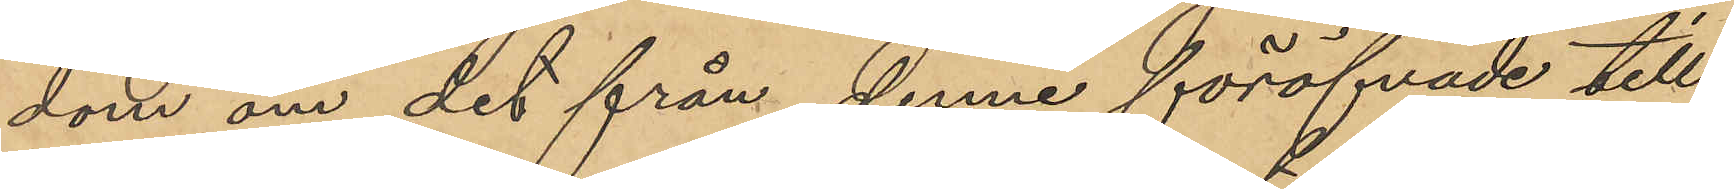dom om det från denne föröfvade till¬
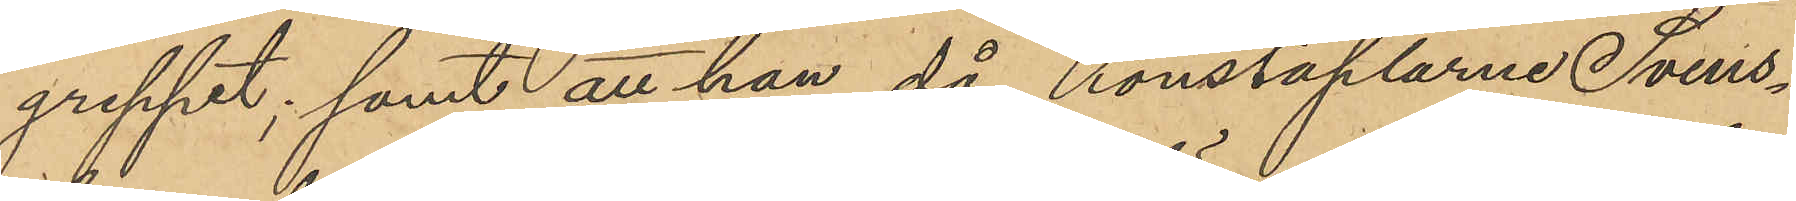greppet; samt att han, då konstaplarne Svens¬
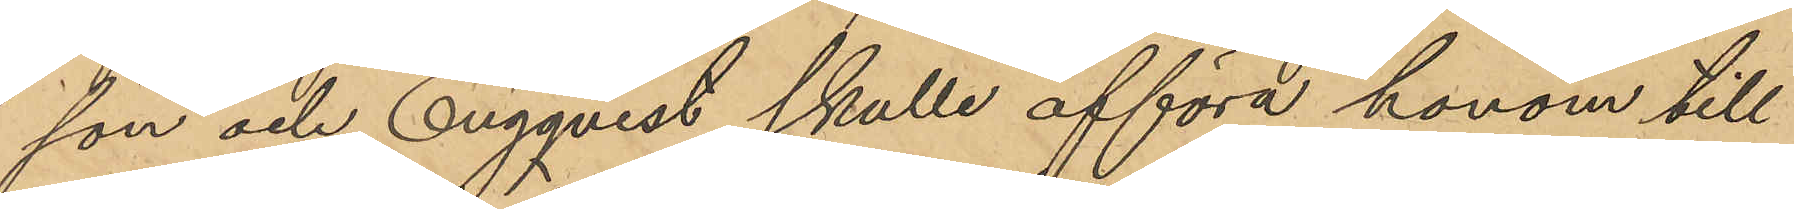son och Engqvist skulle afföra honom till
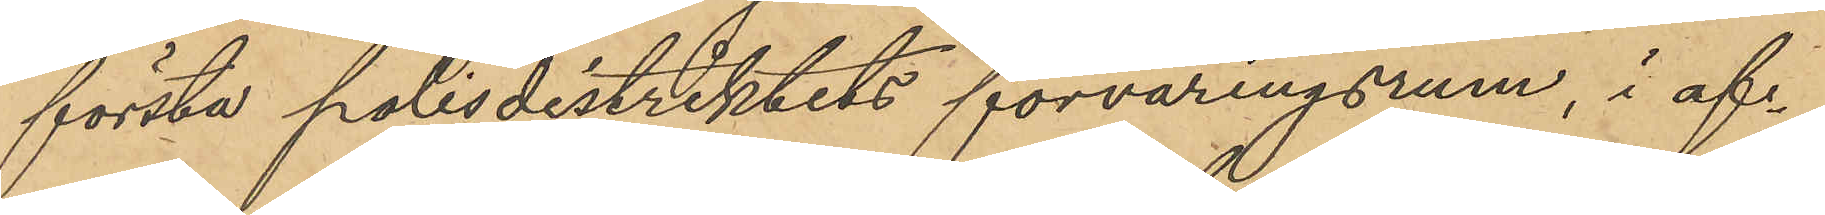första polisdistriktets förvaringsrum, i af¬
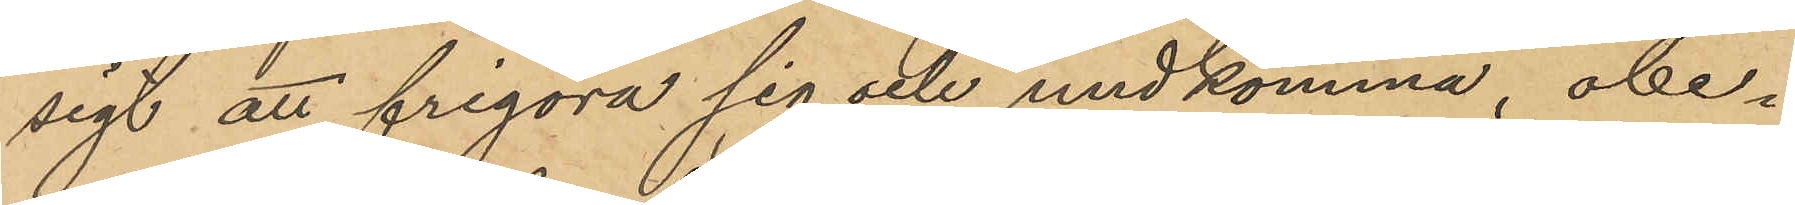sigt att frigöra sig och undkomma, obe¬
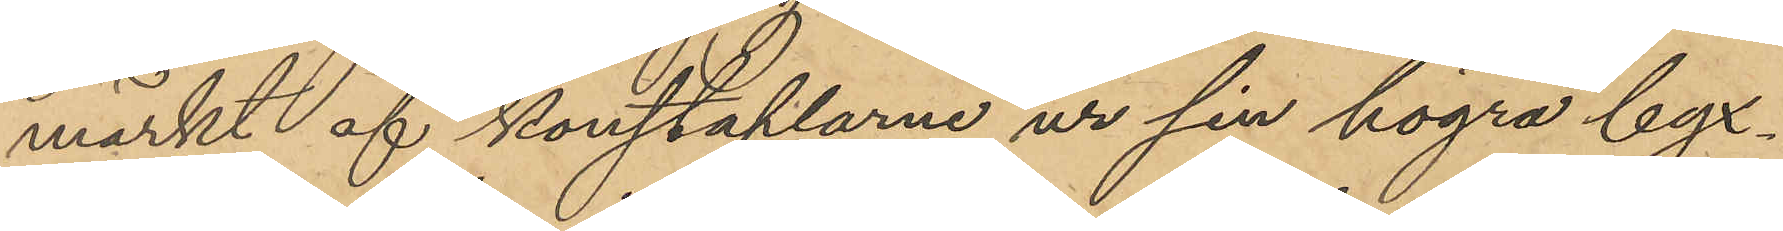märkt af konstaplarne ur sin högra byx¬
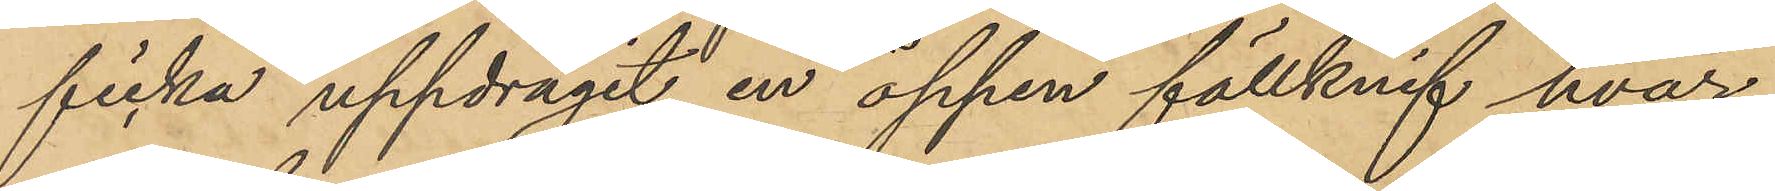ficka uppdragit en öppen fällknif hvar¬
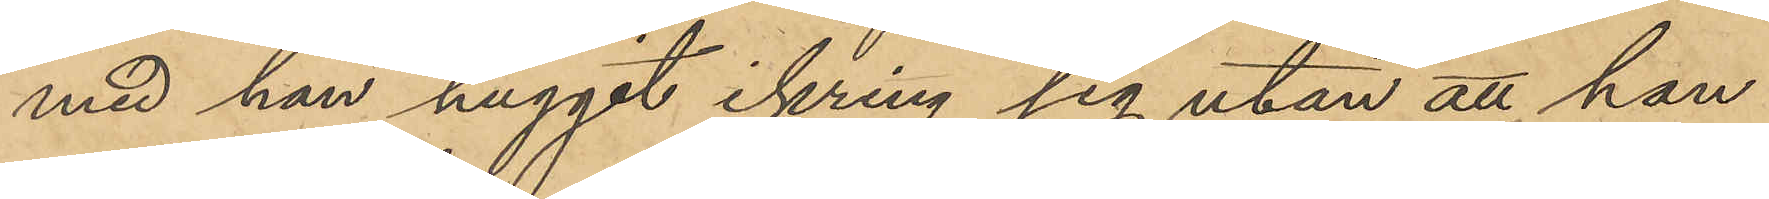med han huggit ikring sig utan att han
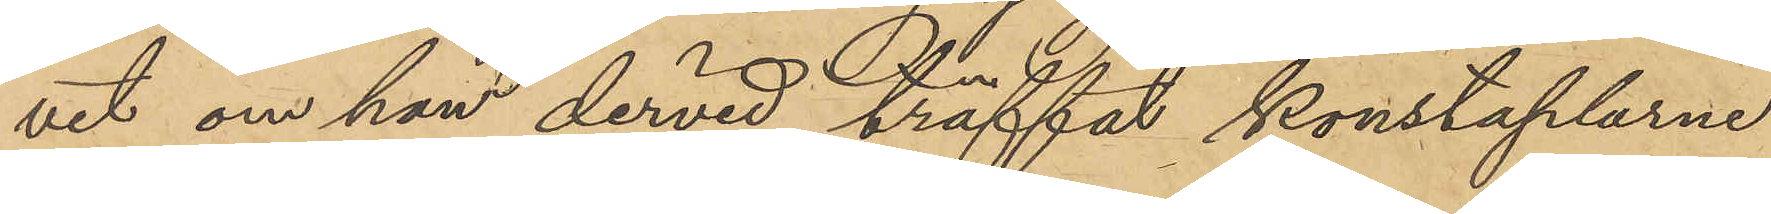vet om han dervid träffat konstaplarne
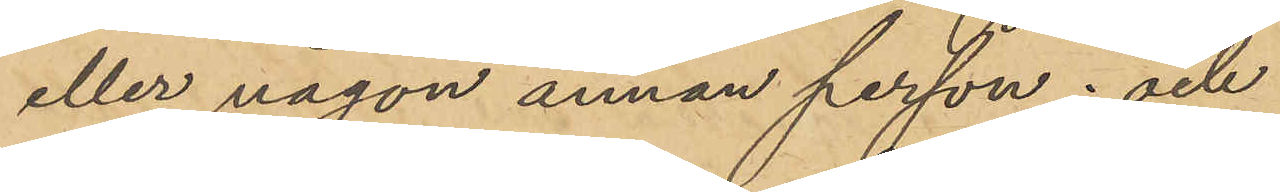eller någon annan person; och
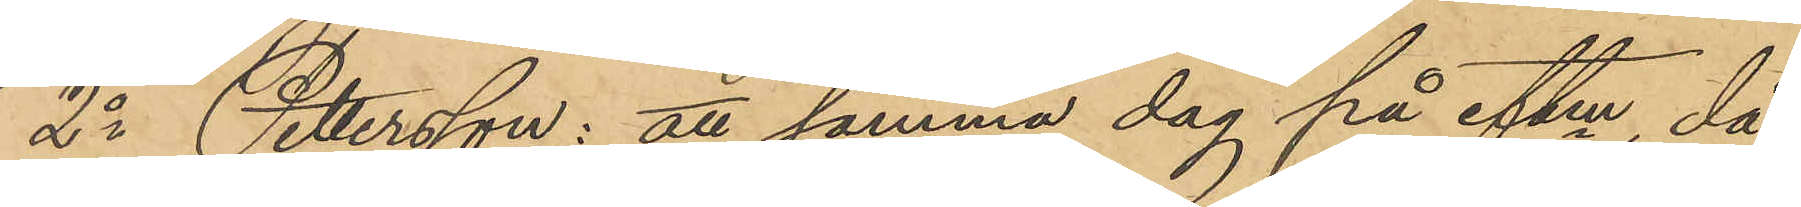2o Pettersson: att samma dag på eftm, då
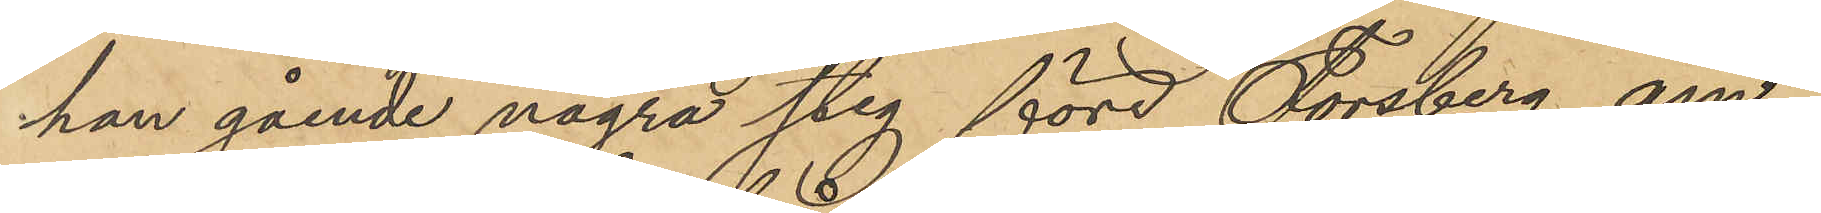han gående några steg före Forsberg äm¬
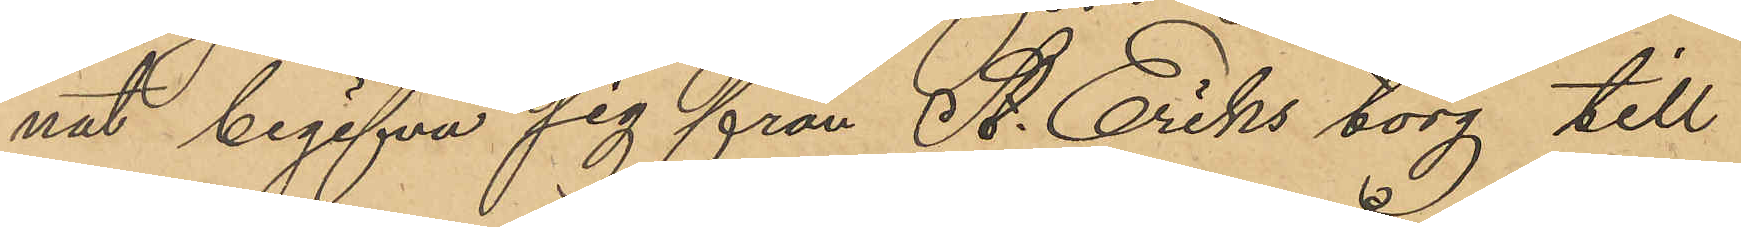nat begifva sig från St. Eriks torg till
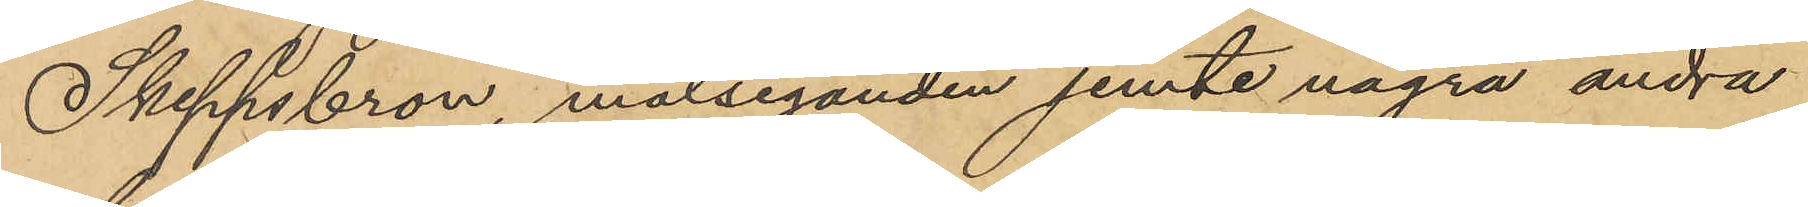Skeppsbron, målseganden jemte några andra
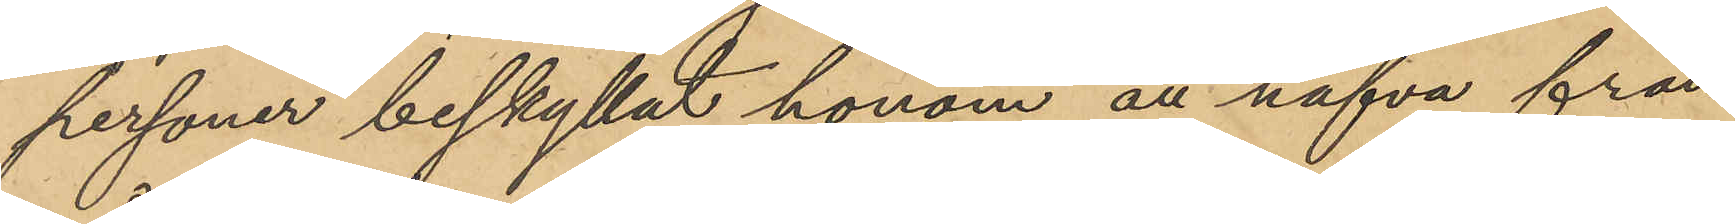personer beskyllat honom att hafva från
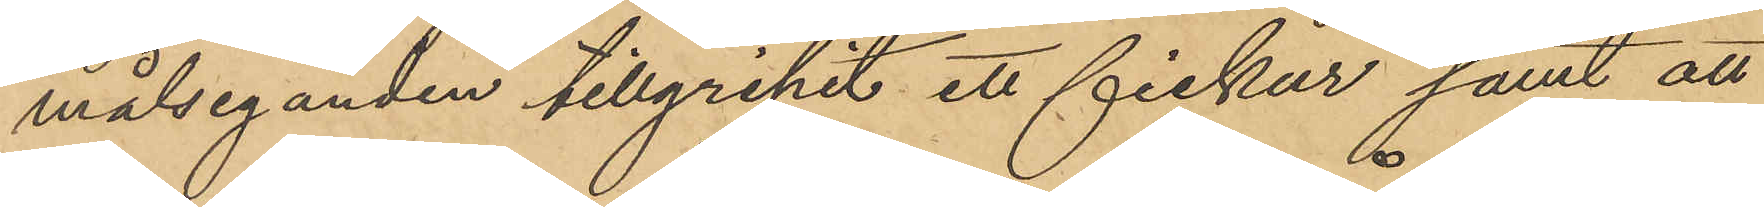målseganden tillgripit ett fickur samt att
